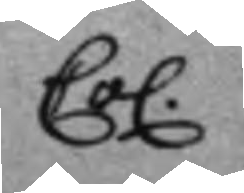Co. 
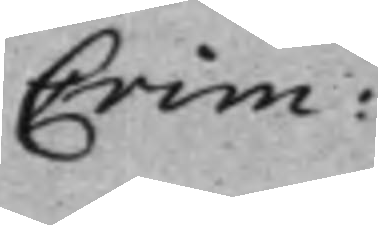Crim: 
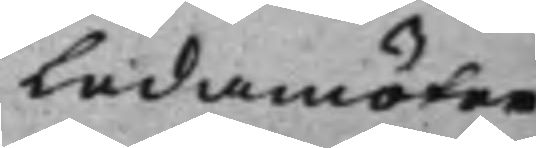Ledamöter 
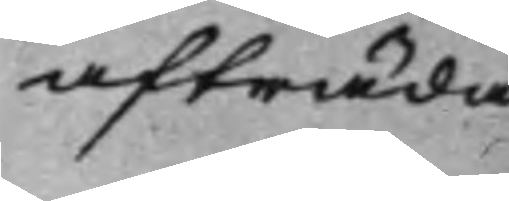afträda
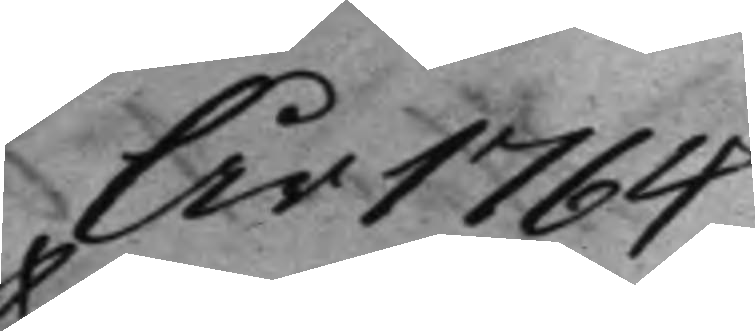År 1764
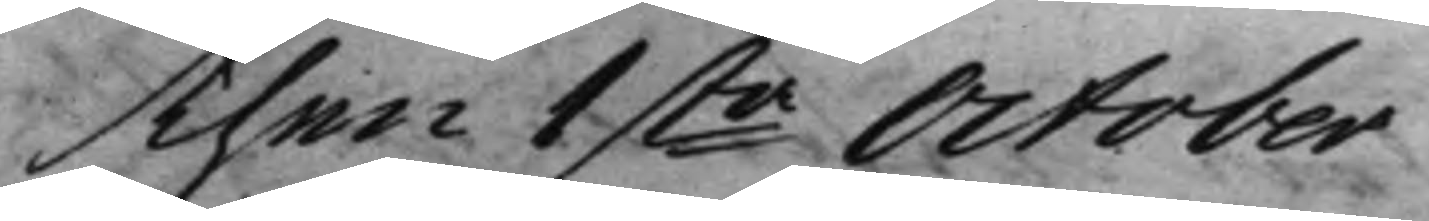Then 1sta October 
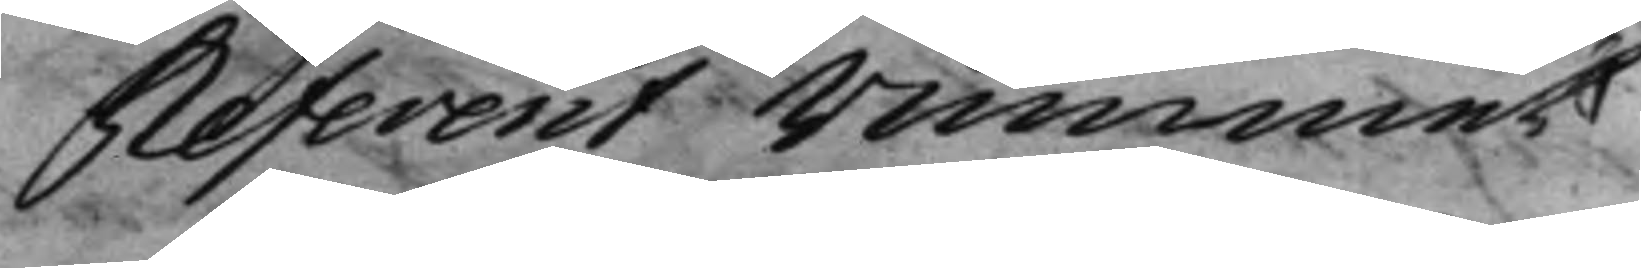Referent Rummet
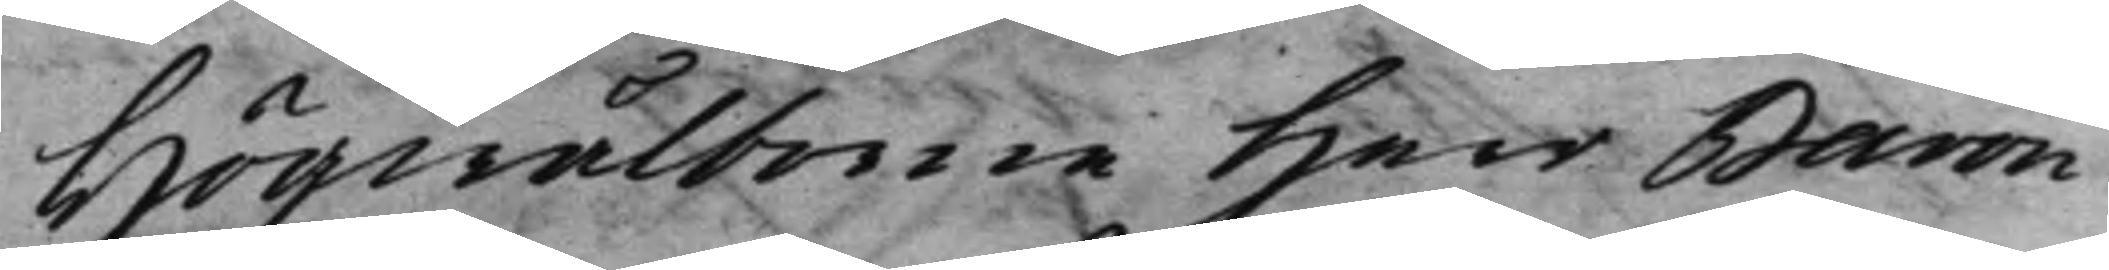Högwälborne Herr Baron
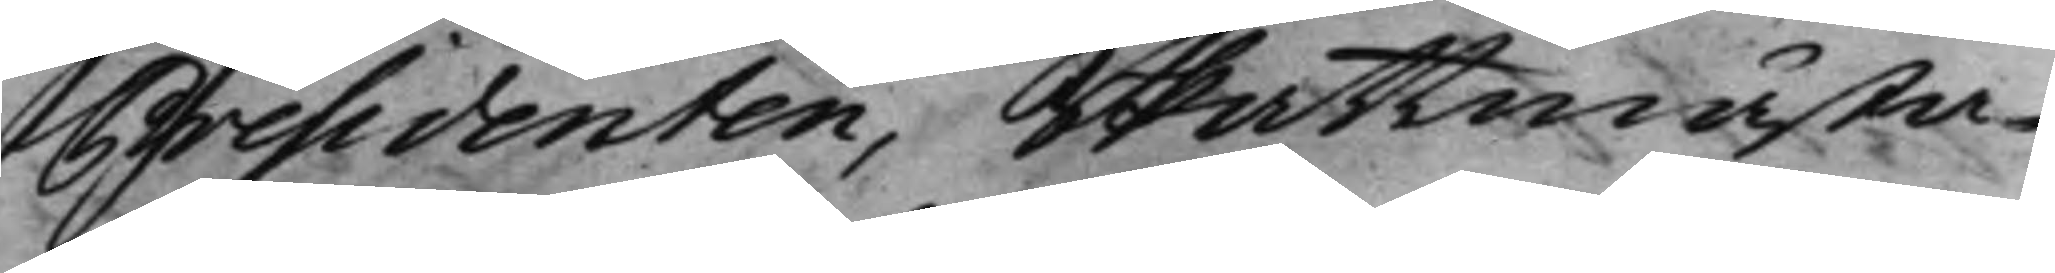Presidenten, Skattmästa¬
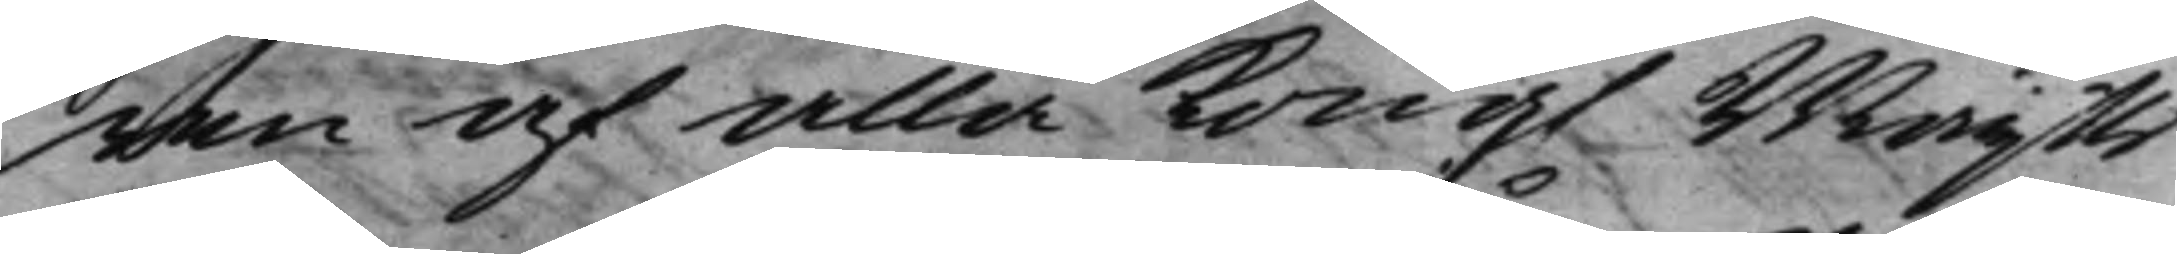ren af alla Kong. Maijts 
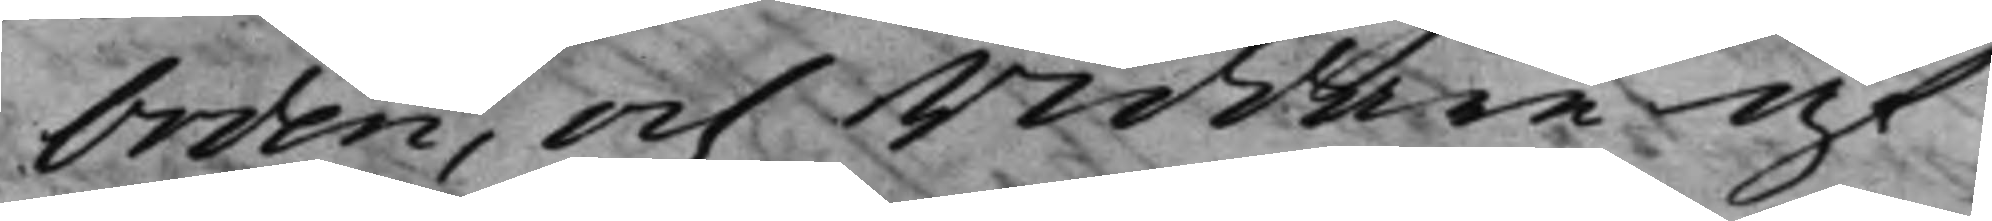Orden, och Riddare af
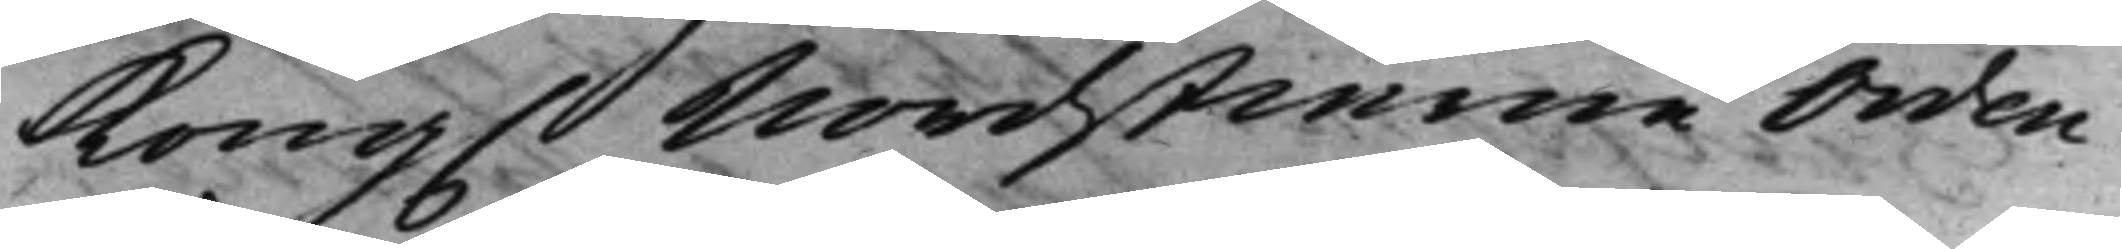Kong. Nordstierne Orden 
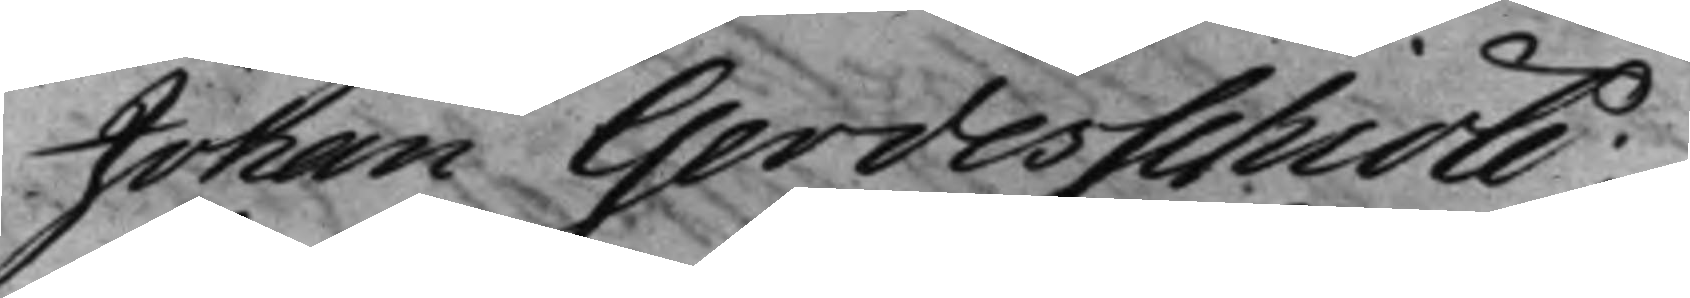Johan Gerdesschiöld;
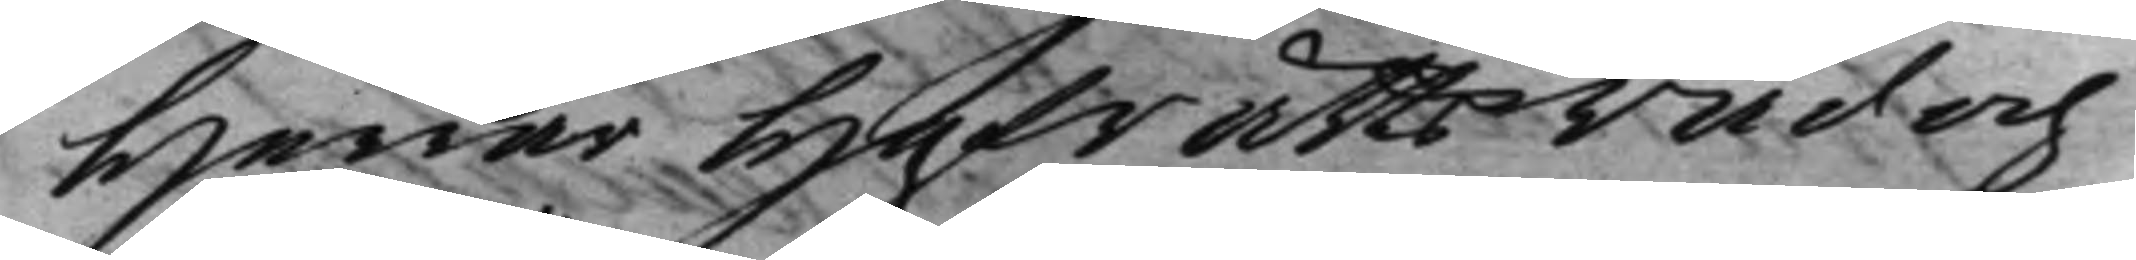Herrar HofrättsRåd och
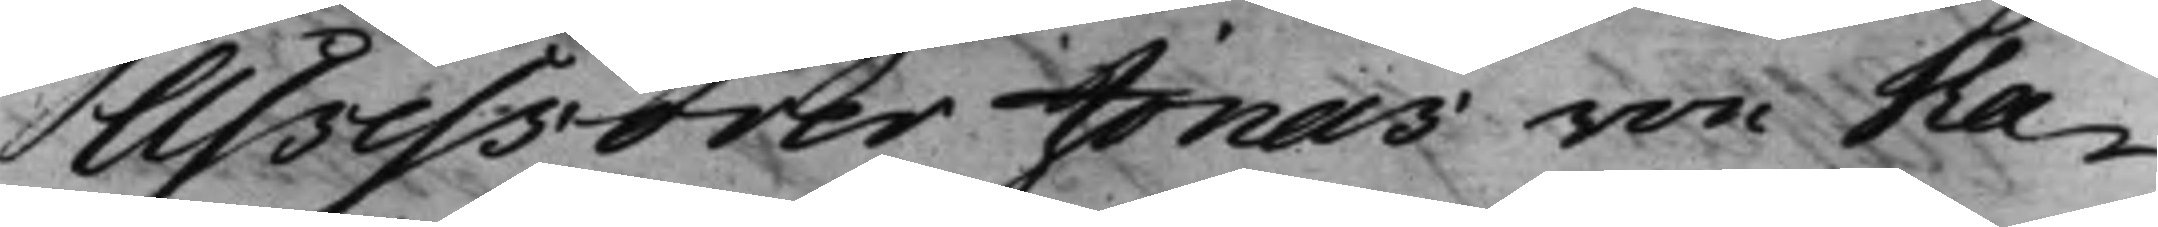Assessorer Jonas von Ha¬
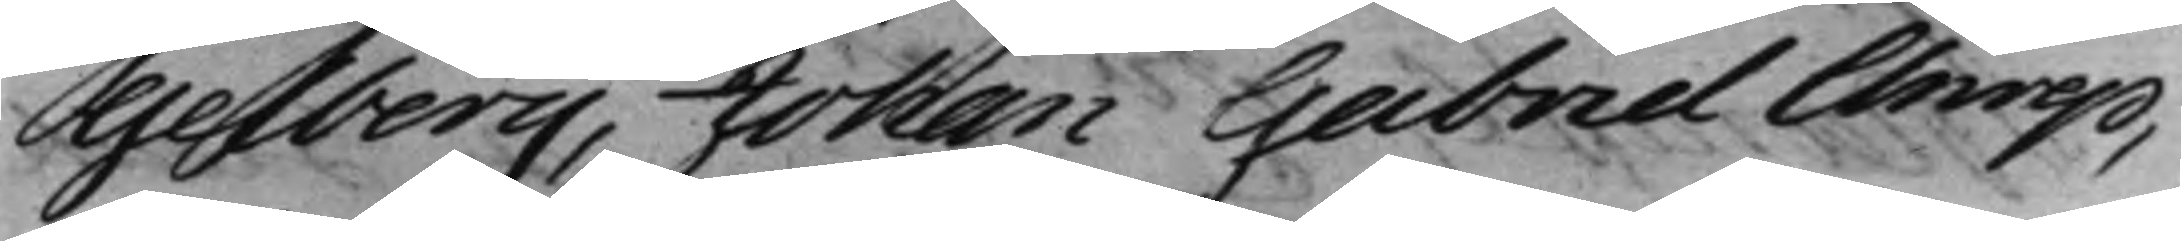gelberg, Johan Gabriel Anrep,
